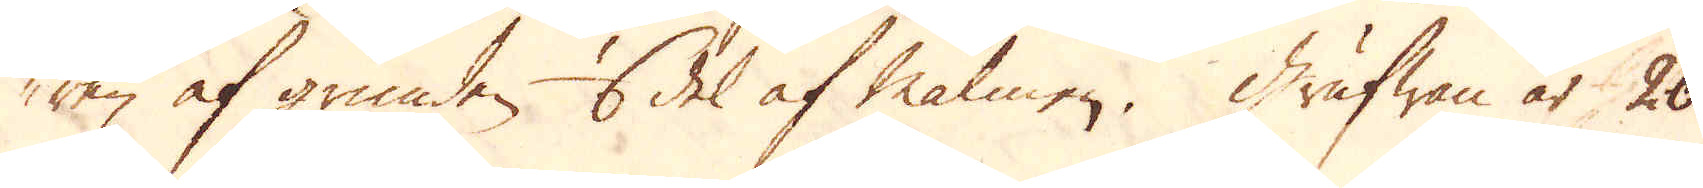ren af grunden 6 del af Malmen. Grufwan är 20
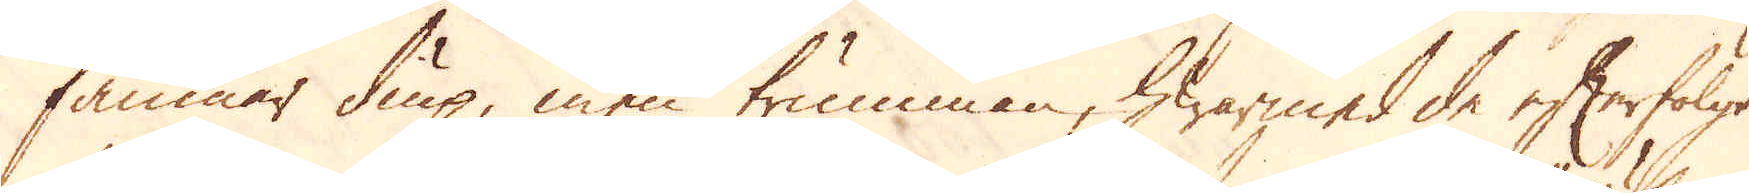famnar diup, men trumman, hwarmed de efterfölgt
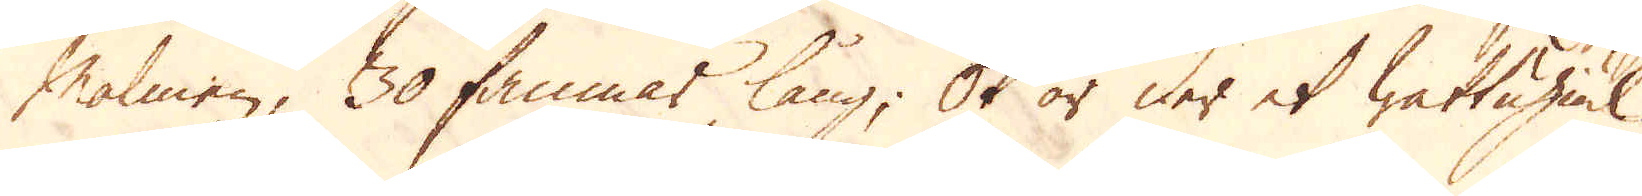Malmen, 30 famnar lång; Ok är der et wattuhiul
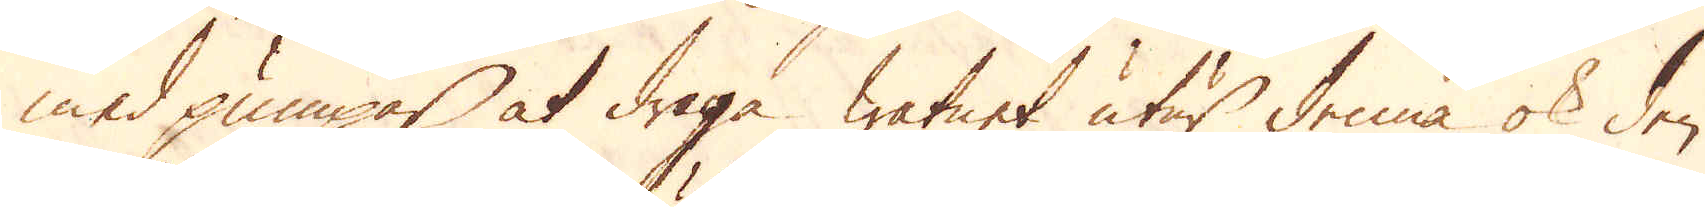med pumpar at draga watnet utur denna ok den
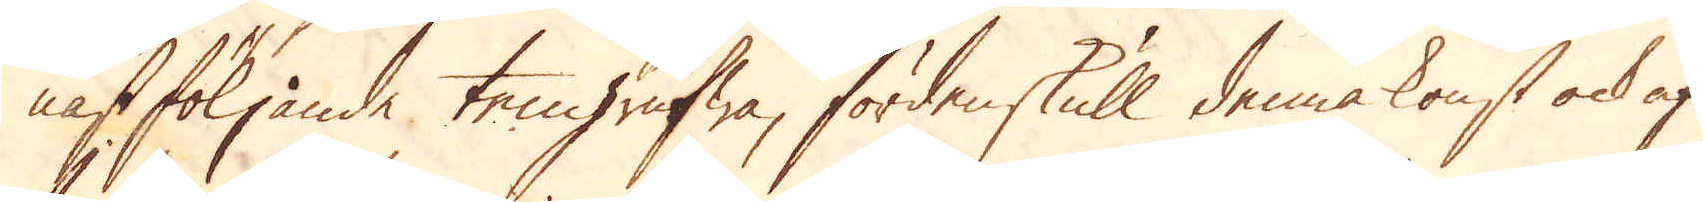näst följande tengrufwa, fördenskull denna konst ock af
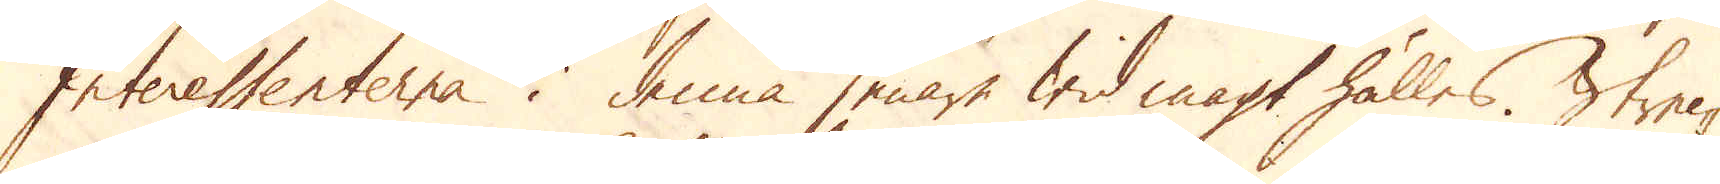Interessenterna i denna senare wid magt hålles. Strec-
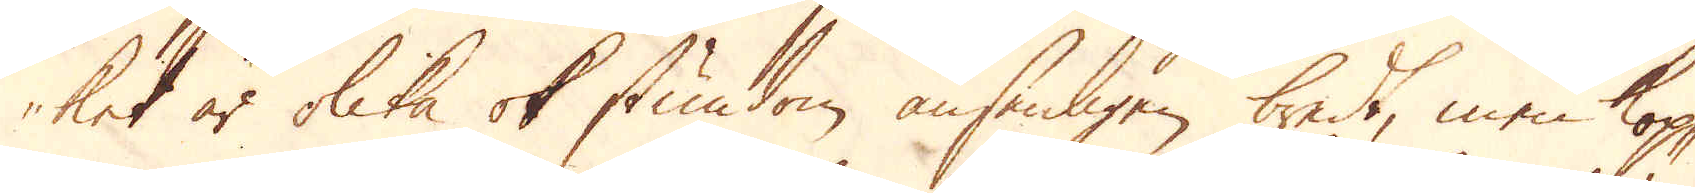ket är olika ok stundom ansenligen bredt, men kop-
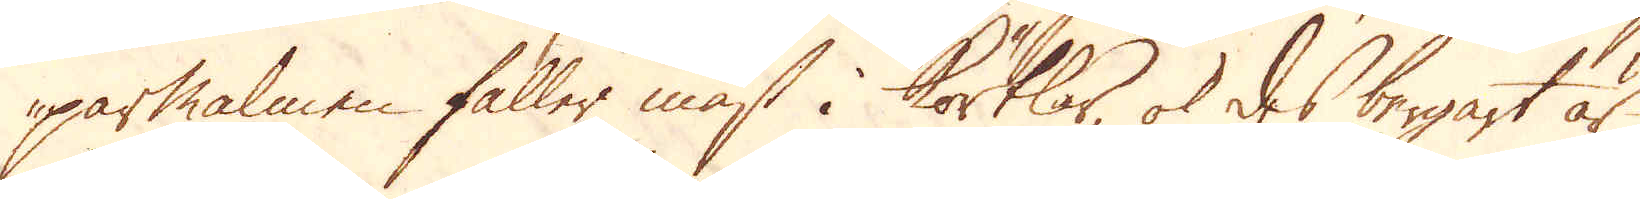parmalmen faller mäst i körtlar, ok des bergart är
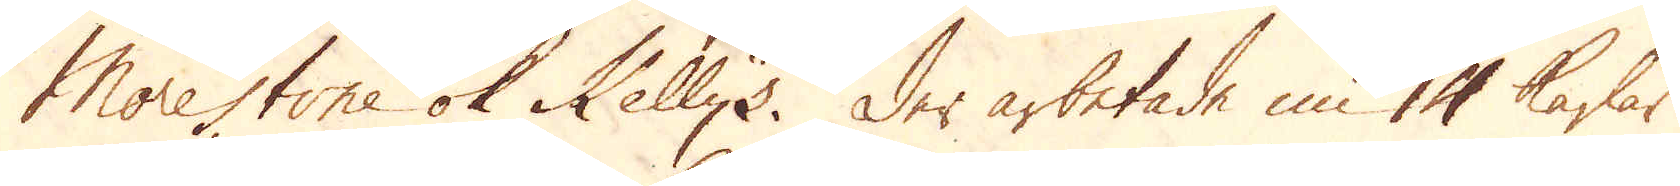Morestone ok Kellys. Der arbetade nu 14 karlar
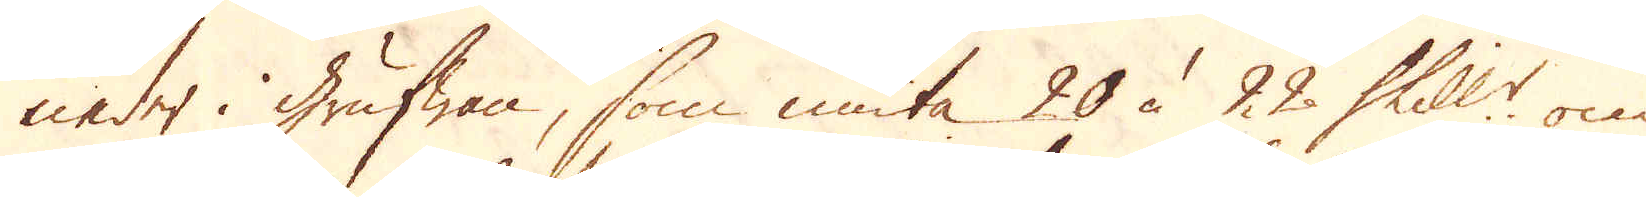neder i grufwan, som niuta 20 à 22 Skill:r om
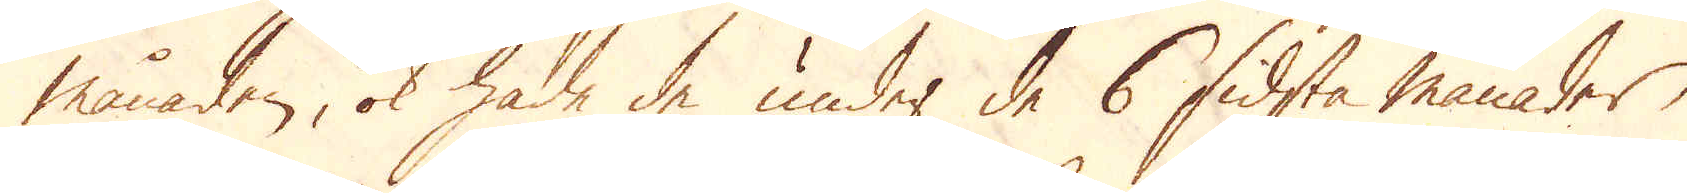månaden, ok hade de under de 6 sidsta månader,
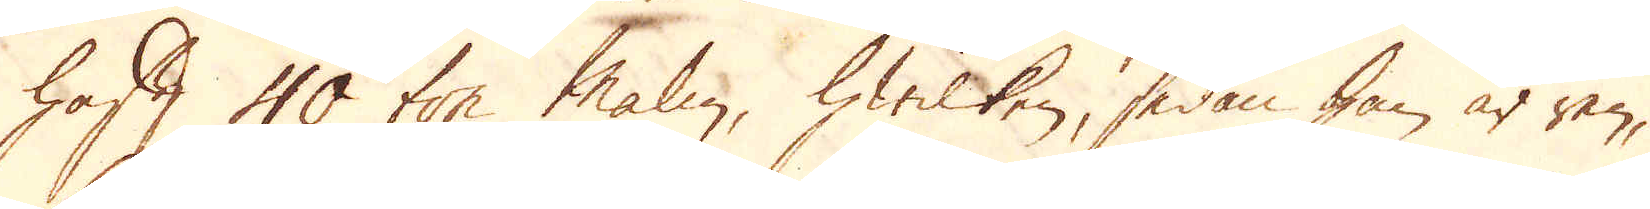haft 40 ton malm, hwilken, sedan han är ren,
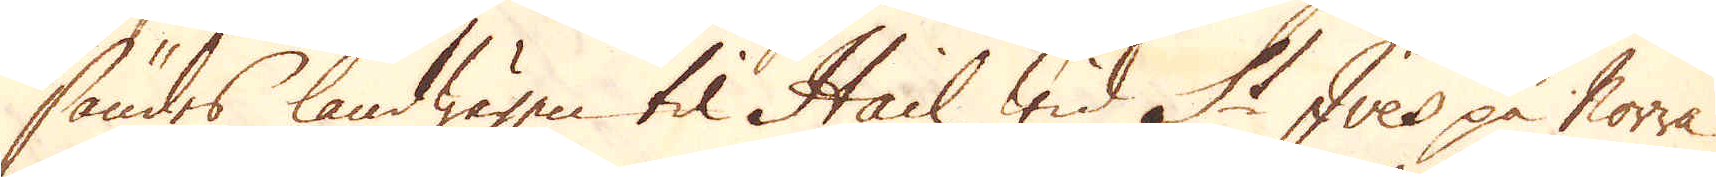sändes landwägen til Hail wid St Ives på Norra
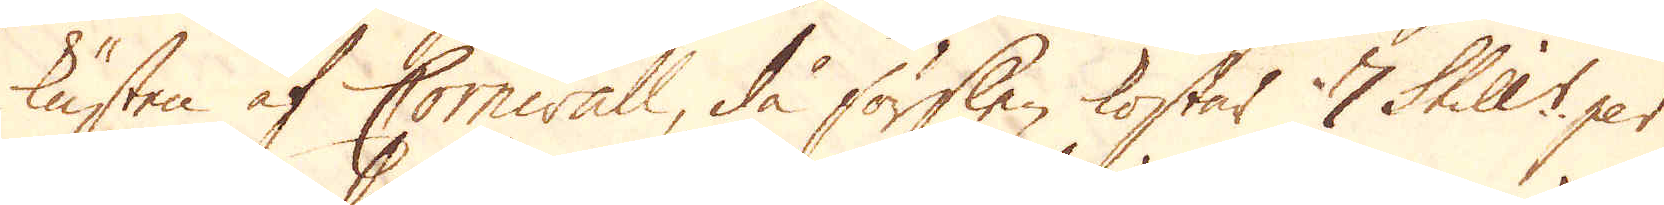kusten af Cornwall, då förslen kostar 7 Skill:r per
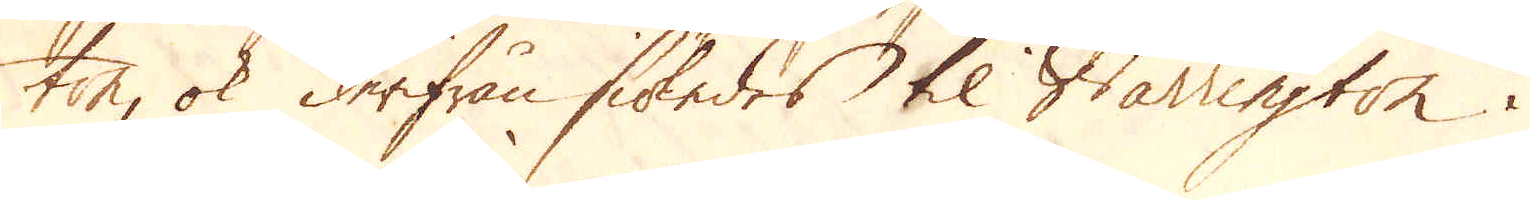ton, ok derifrån siöledes til Warrington i
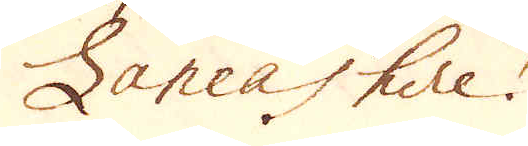Lancashire.
